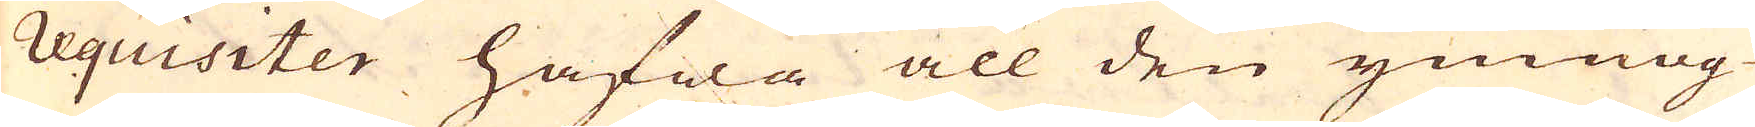requisiter hafwa all den ymnog-
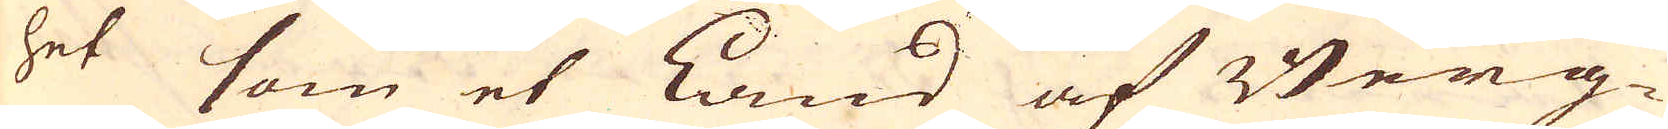het som et Land af Berg-
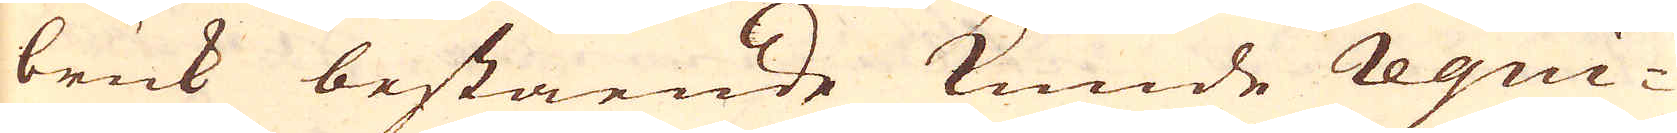bruk bestående kunde Requi-
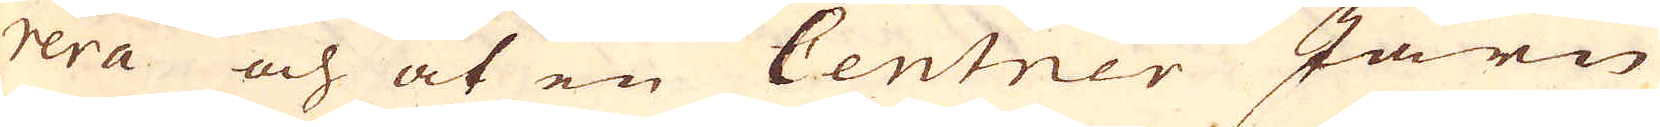rera och at en Centner Järn
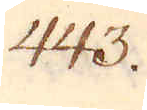443.
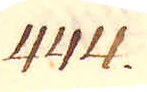444.
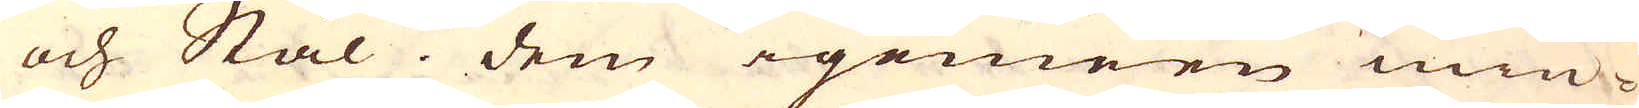och Stål. Dem igemeen min-
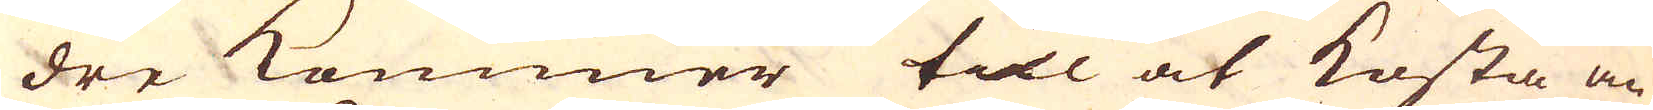dre kommer till at kosta än
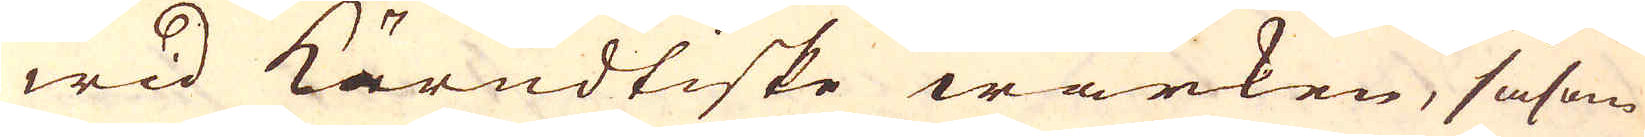wid Kärndtiske wärken, såsom
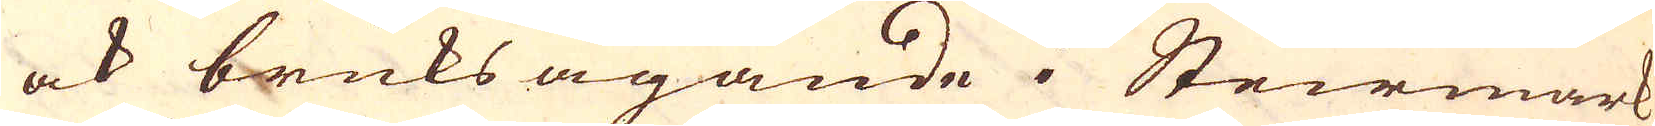ock bruks ägande i Steirmark
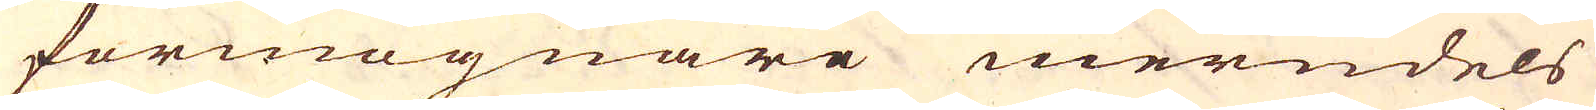förmögnare merndels
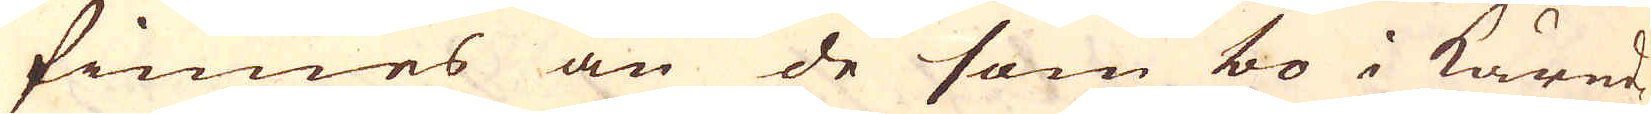finnes än de som bo i Kärnd-
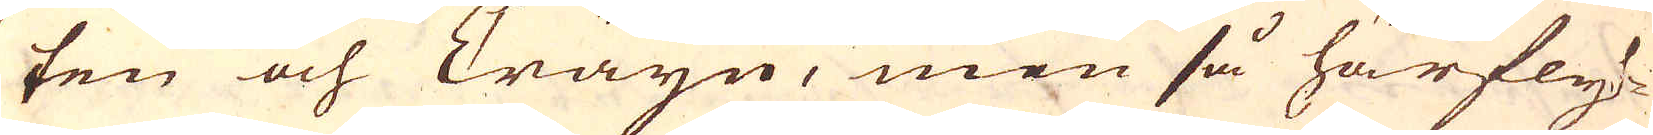ten och Cräyn, men så härfly-
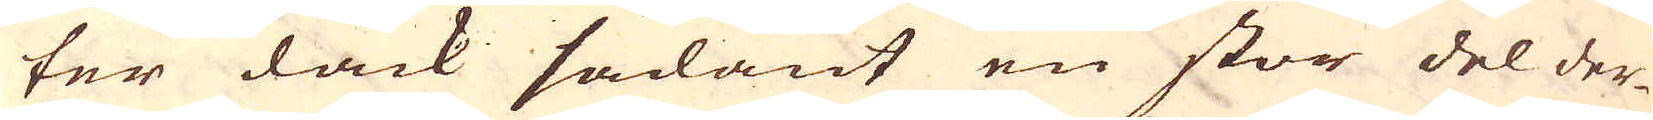ter dåck sådant en stor del der-
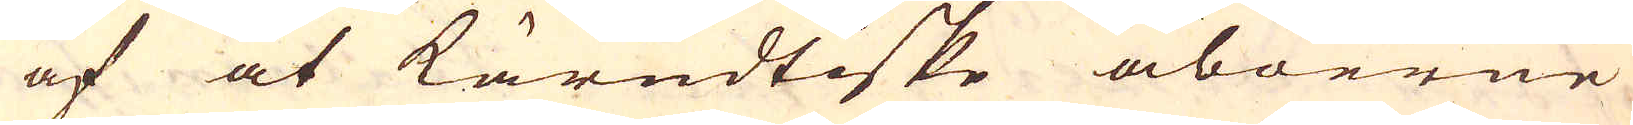af at kärndtiske åboerne
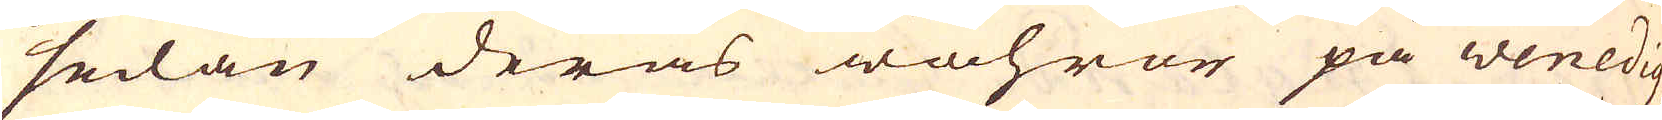sedan deras wahror på wenedig
